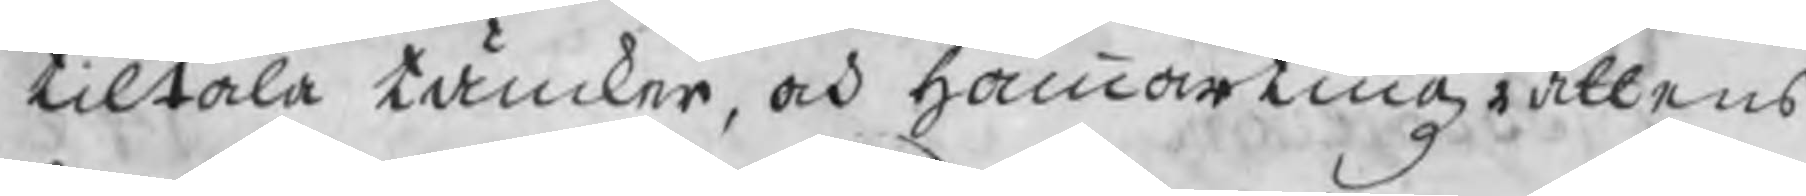tiltala tänker, och hammartingzrättens
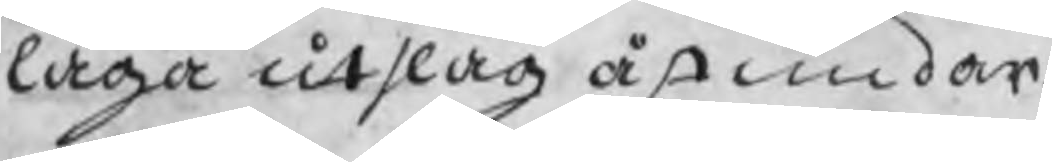laga utslag åstundar.
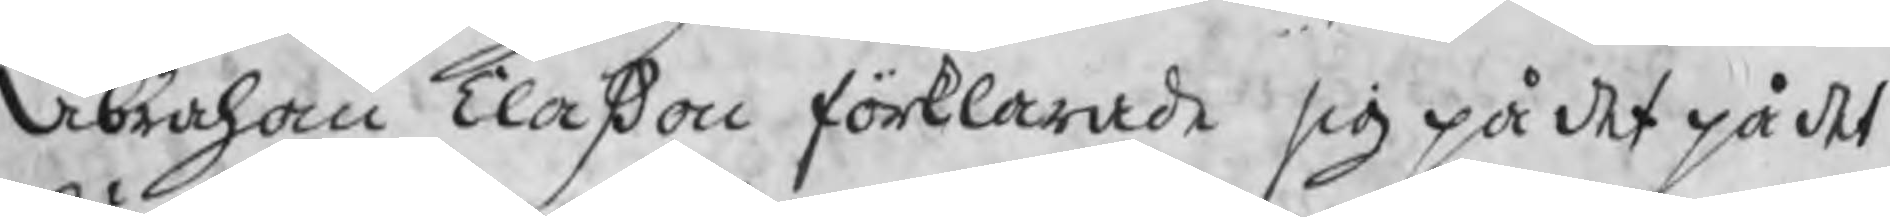Abraham Claßon förklarade sig på det på det
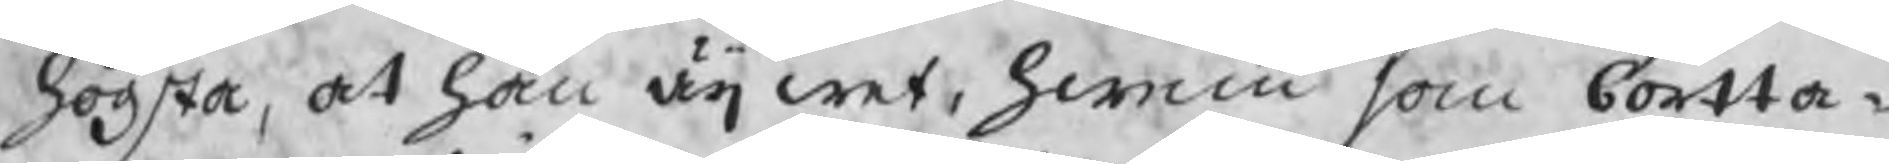högsta, at han äij wet, hwem som bortta¬
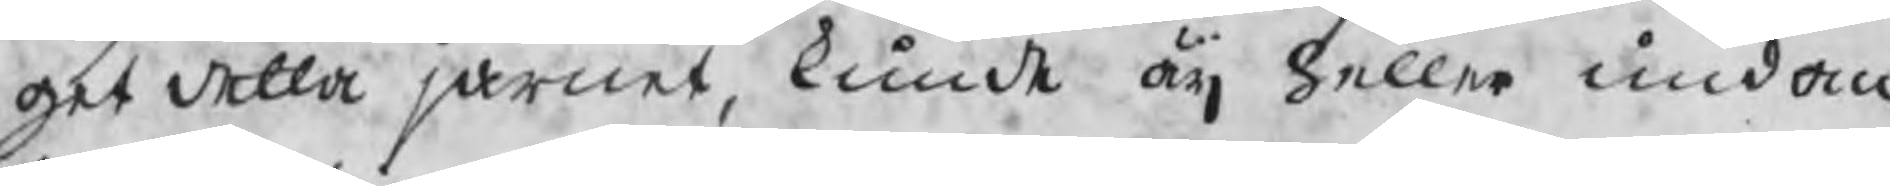get detta järnet, kunde äij heller undan
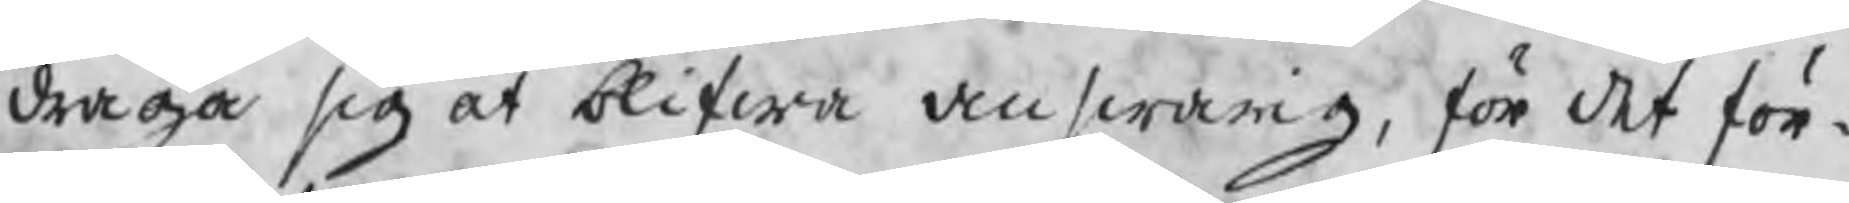draga sig at blifwa answarig, för det för¬
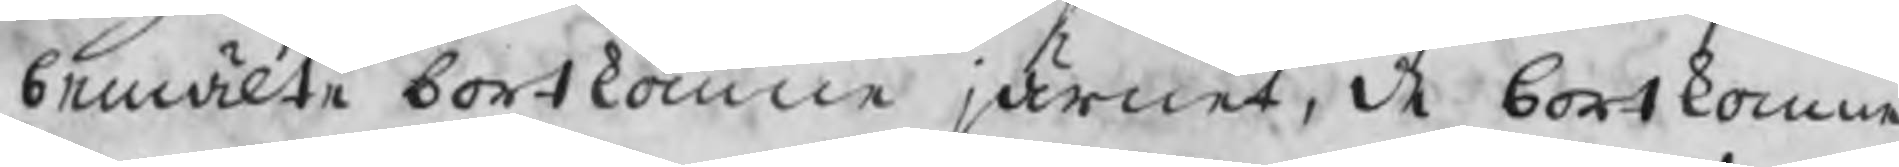bemälte bortkomne järnet, de bortkomne
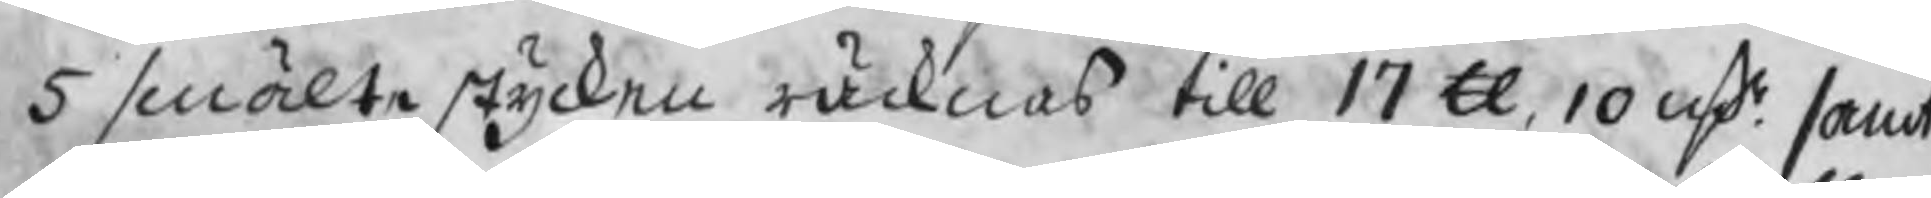5 smälte stycken räcknas till 17 Skl, 10 ℔ samt
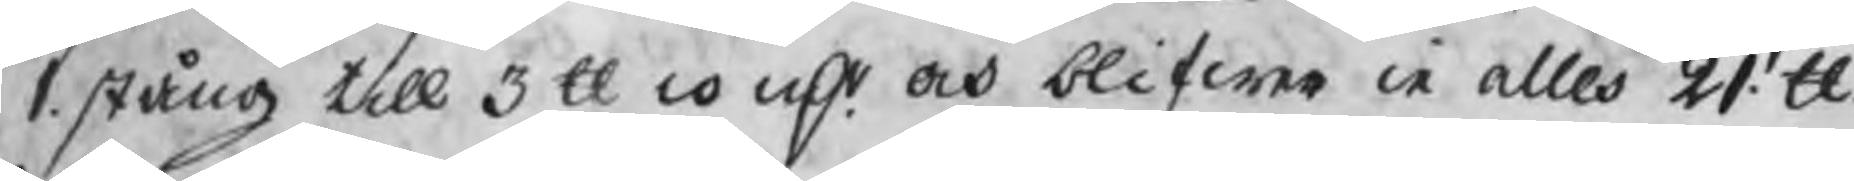1. stång till 3 Skl 10 ℔ och blifwa i alles 21. Skl.
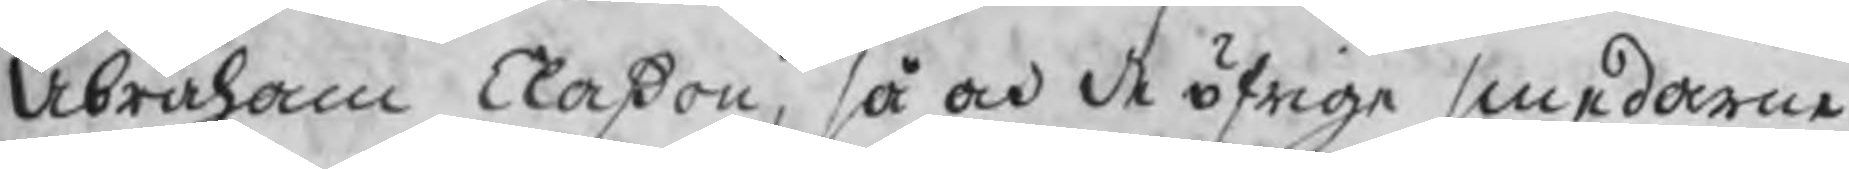Abraham Claßon, så och de öfrige smederne
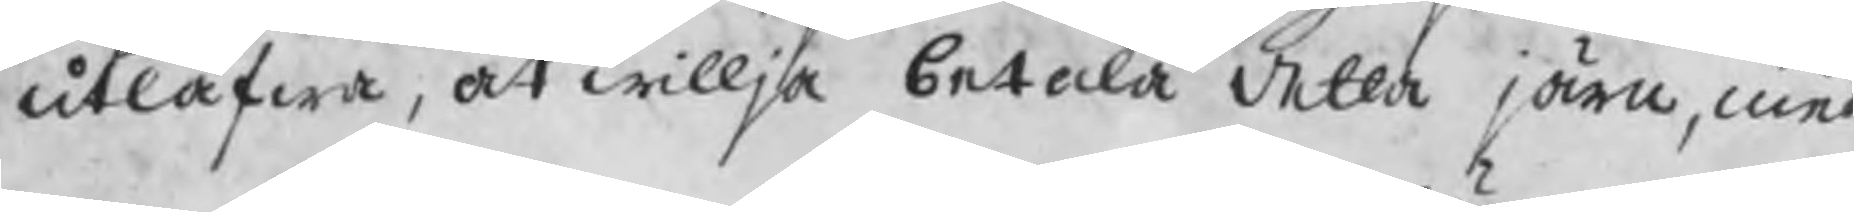utlåfwa, at willja betala detta järn, med
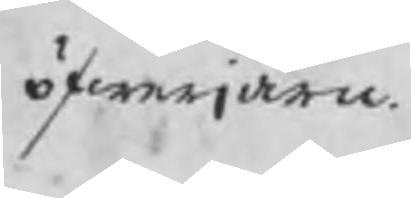öfwerjärn.
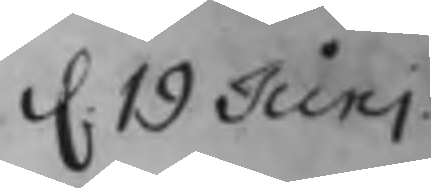d. 19 Juni
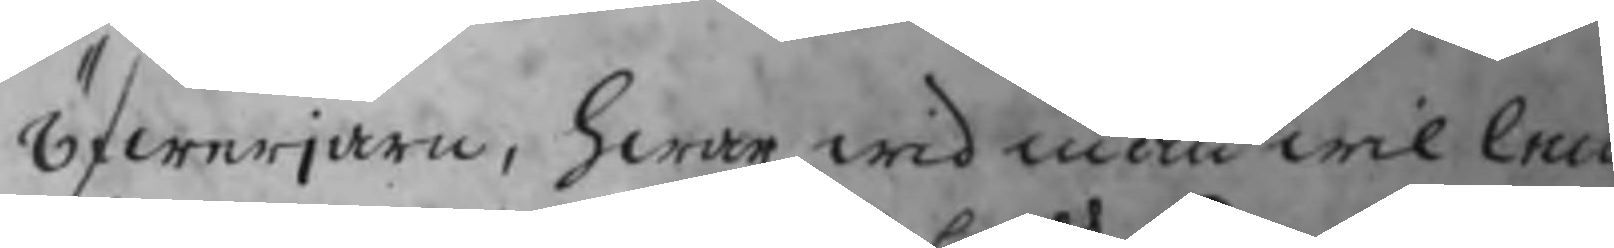öfwerjärn, hwar wid man wil nn
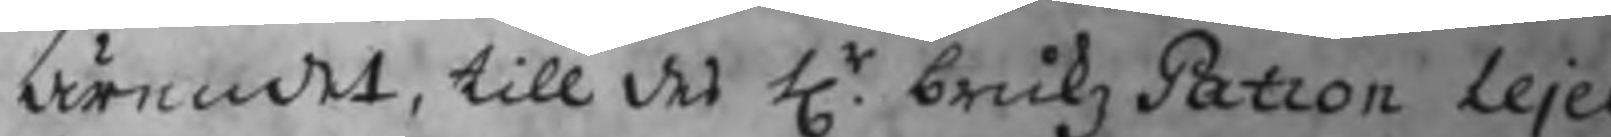ärendet, till des Hr. brukz Patron Leje
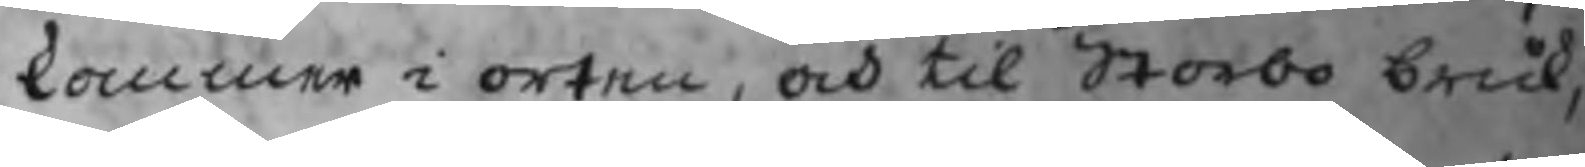kommer i orten, och til Storbo bruk,
